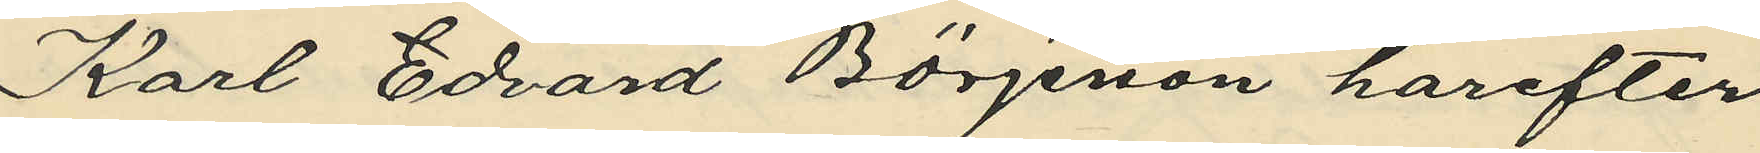Karl Edvard Börjeson harefter
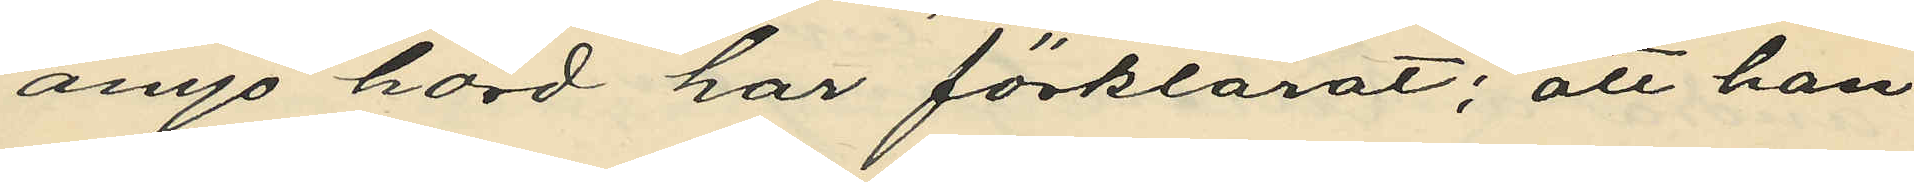ånyo hörd har förklarat; att han
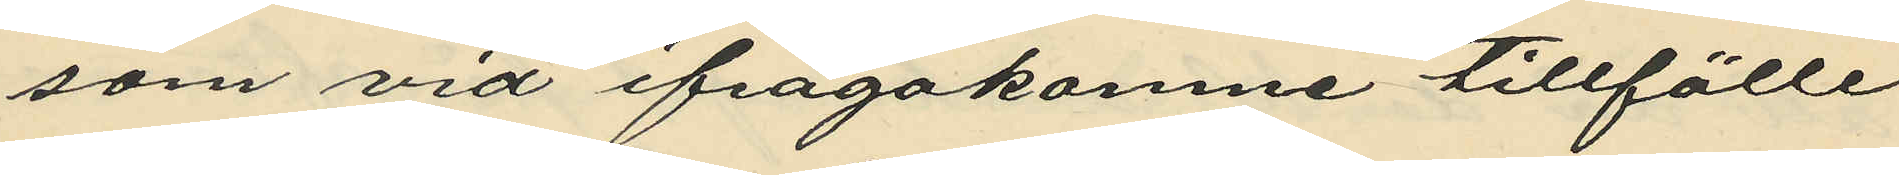som vid ifrågakomne tillfälle
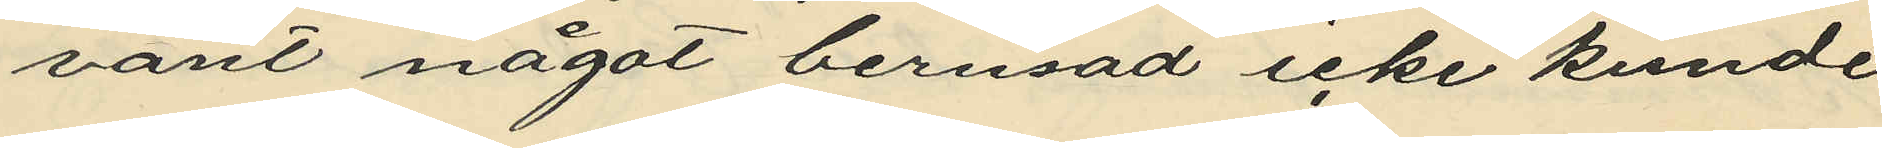varit något berusad icke kunde
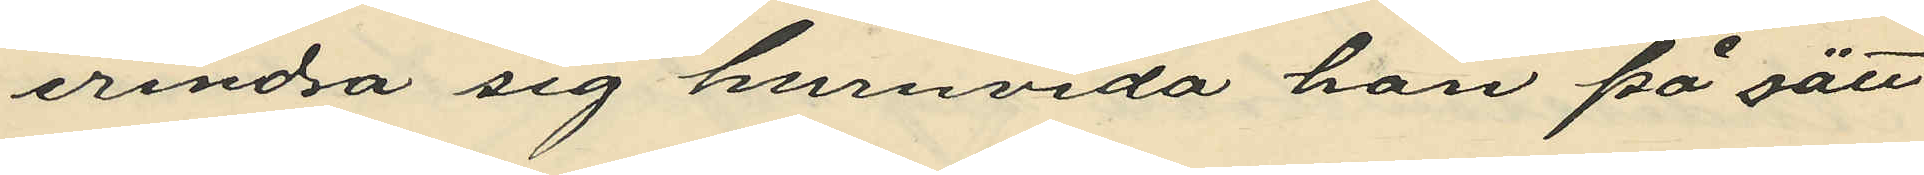erindra sig huruvida han på sätt
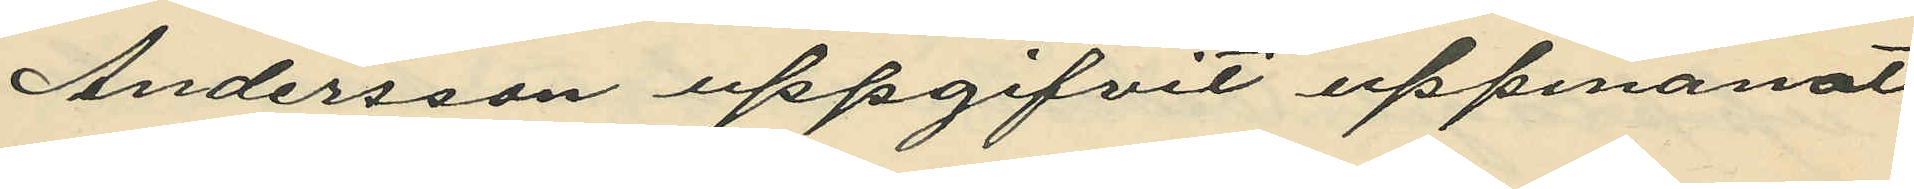Andersson uppgifvit uppmanat
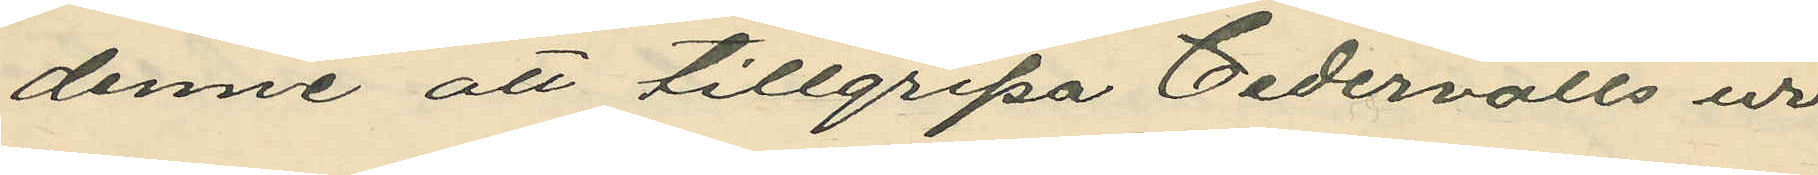denne att tillgripa Cedervalls ur
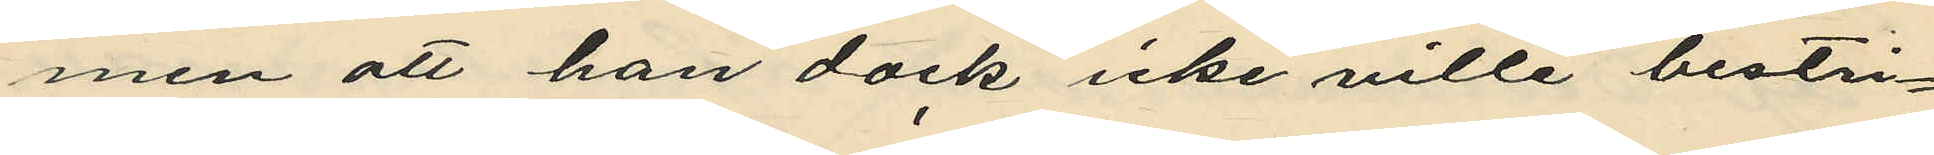men att han dock icke ville bestri¬
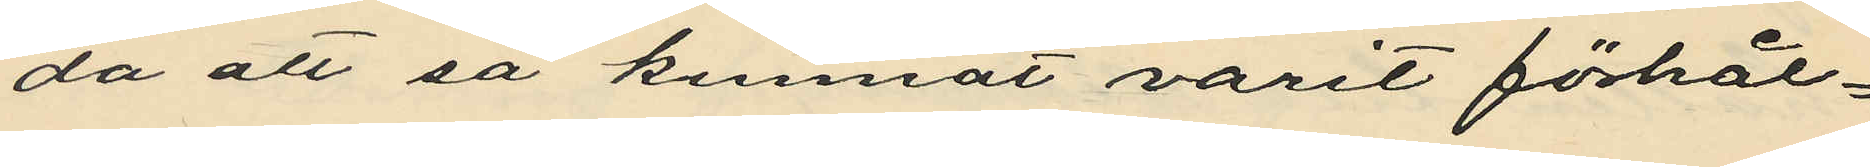da att så kunnat varit förhål¬
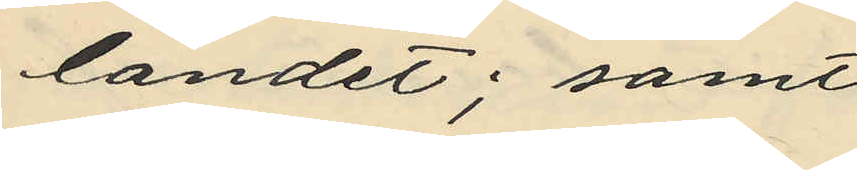landet; samt
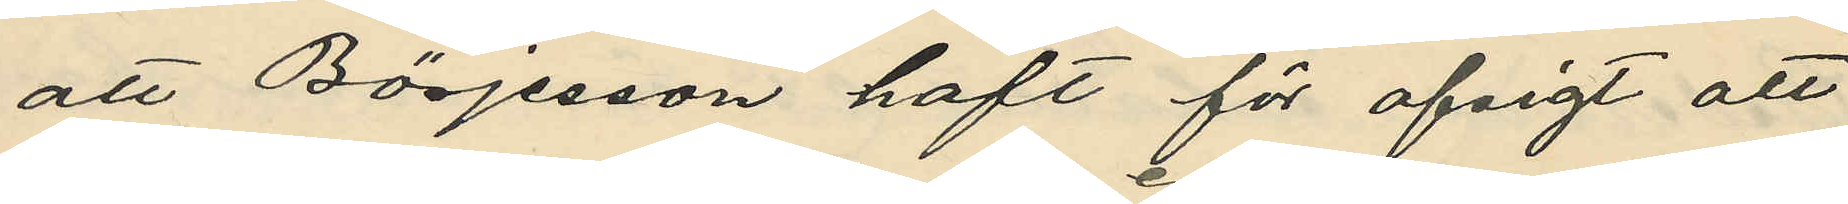att Börjesson haft för afsigt att
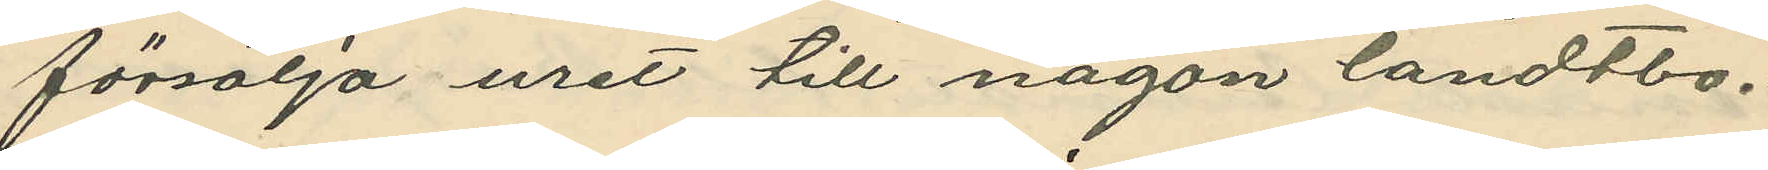försälja uret till någon landtbo.
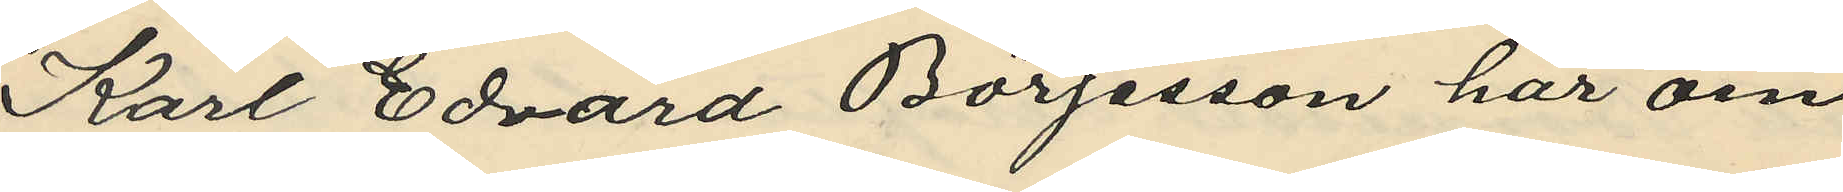Karl Edvard Börjesson har om
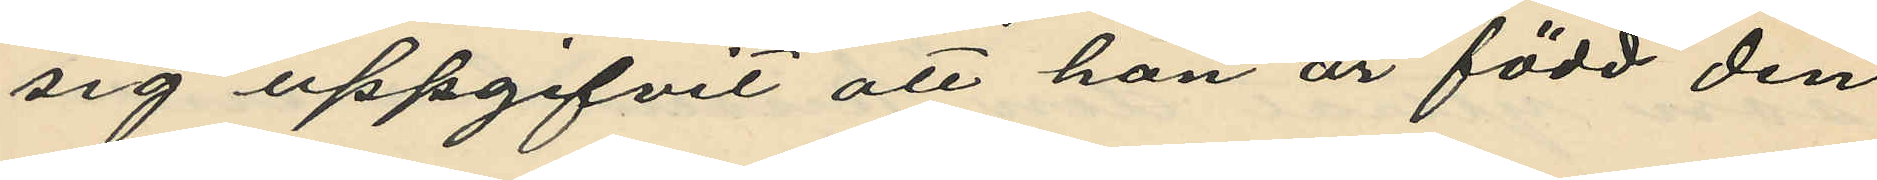sig uppgifvit att han är född den
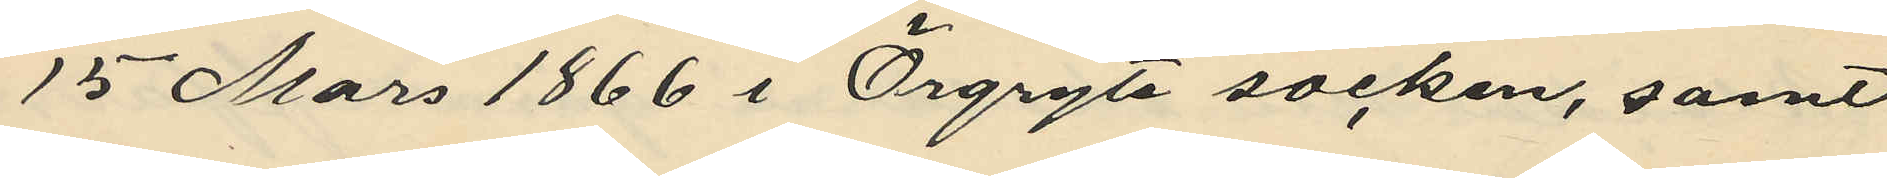15 Mars 1866 i Örgryte socken, samt
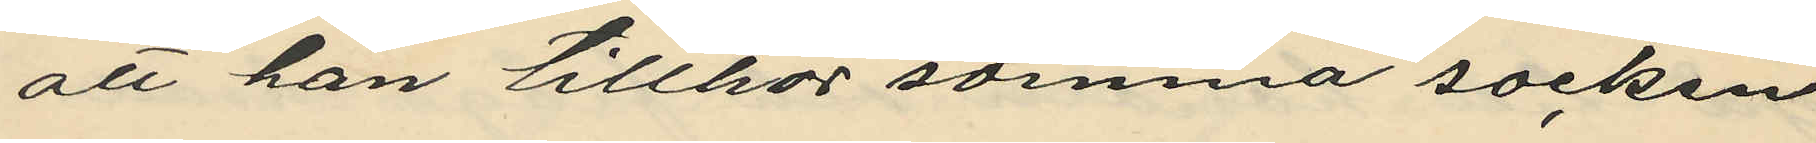att han tillhör samma socken
